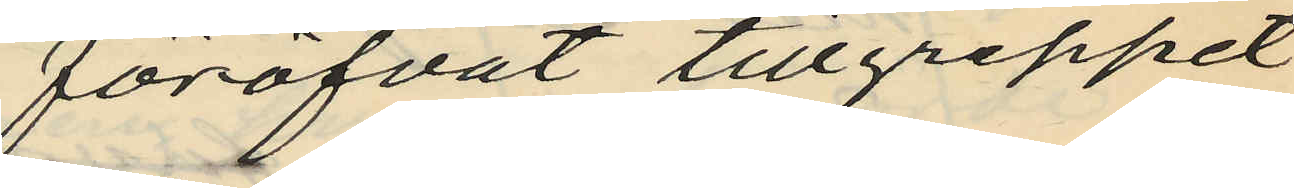föröfvat tillgreppet
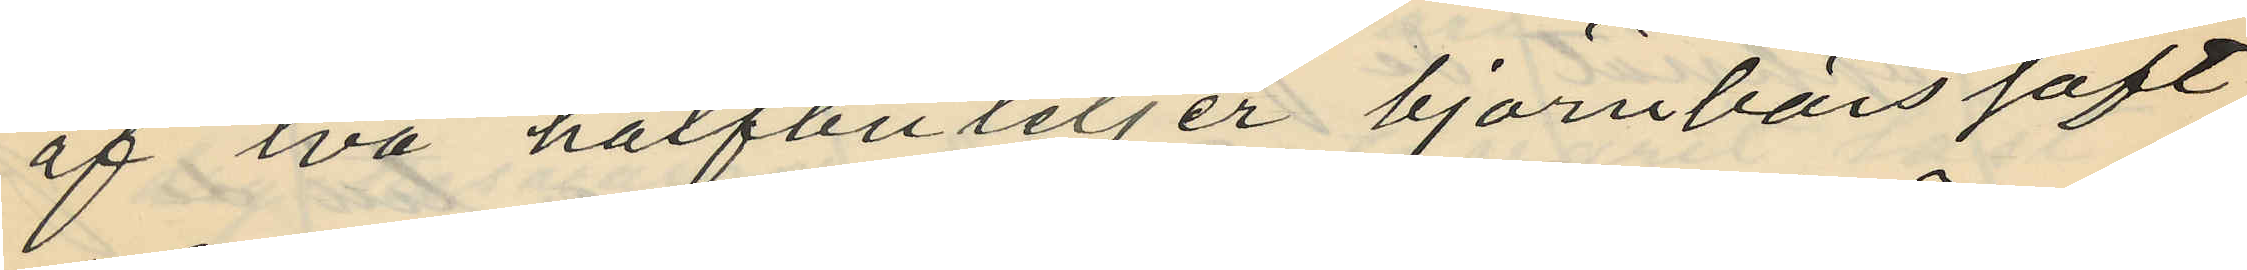af två halfbuteljer björnbärssaft
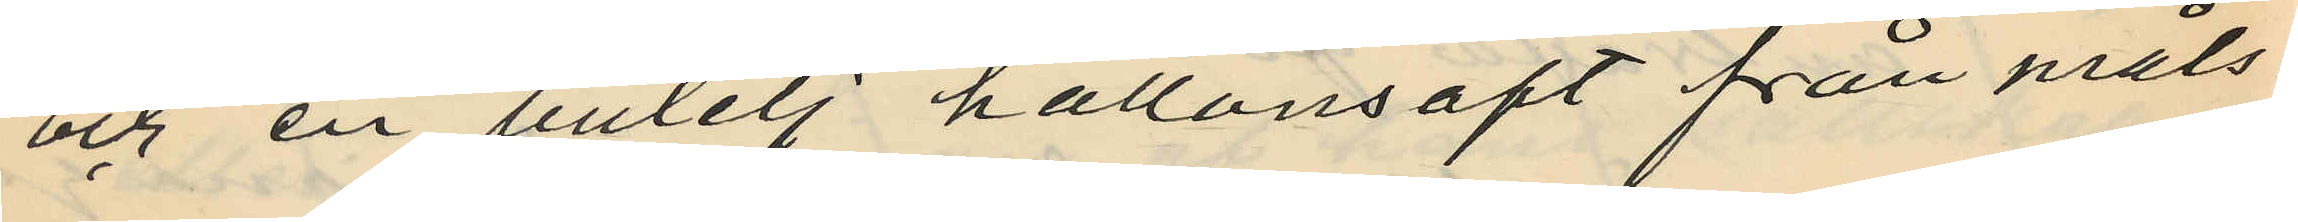och en butelj hallonsaft från måls¬
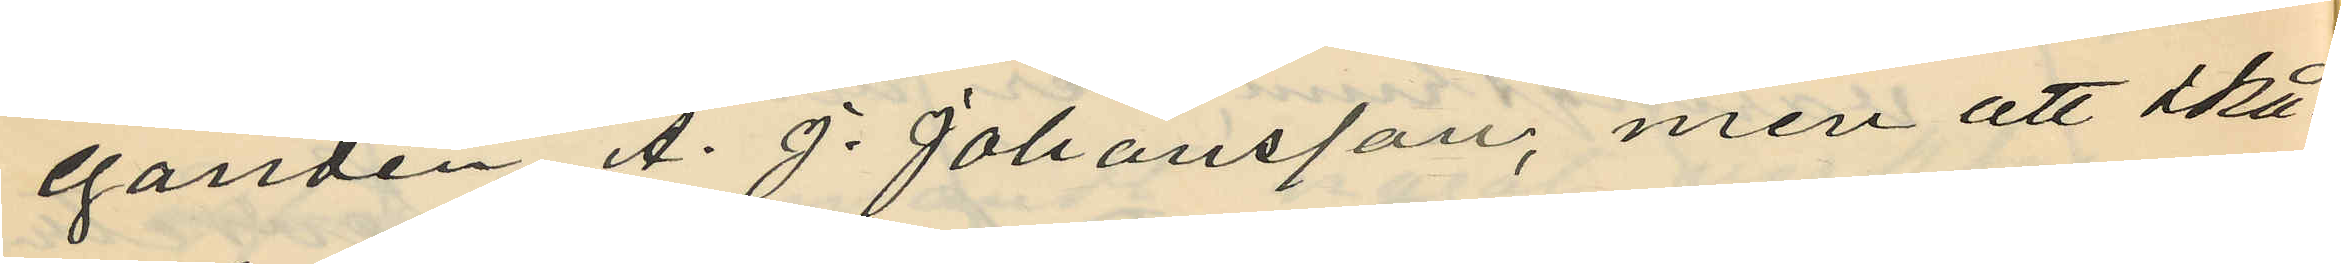eganden A. J. Johansson, men att skå¬
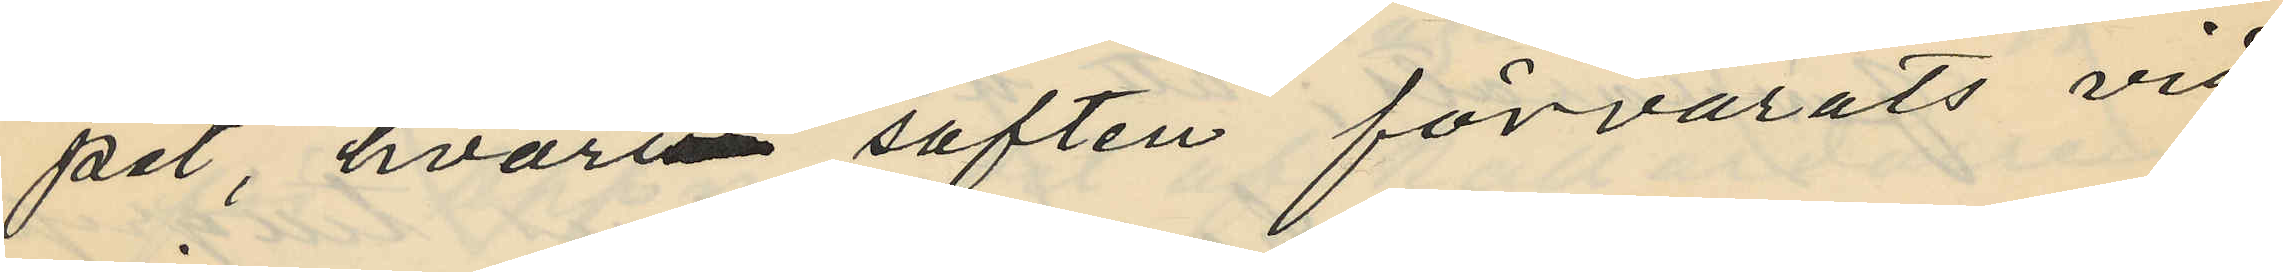pet, hvarin saften förvarats vid
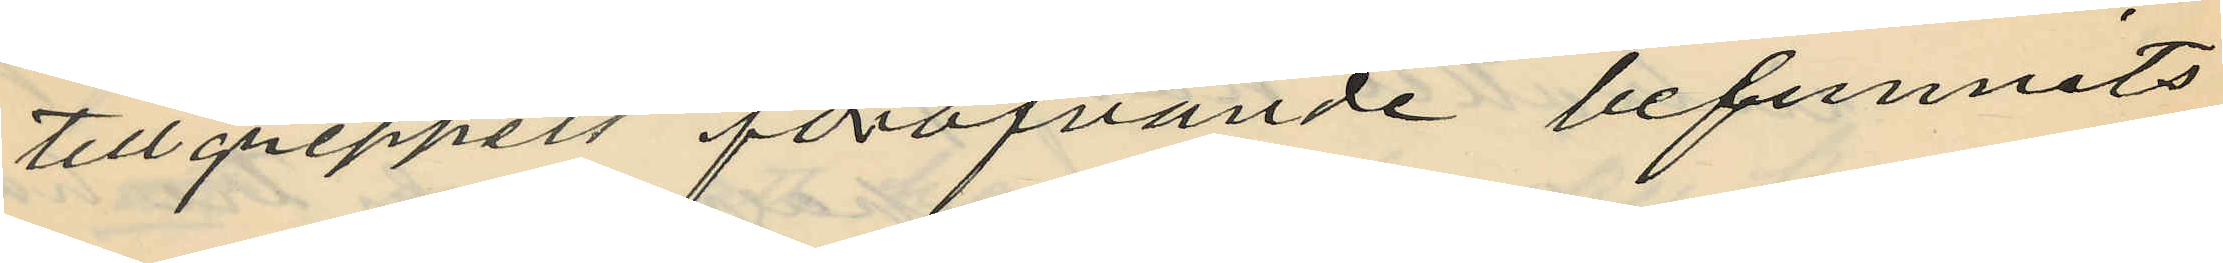tillgreppets föröfvande befunnits
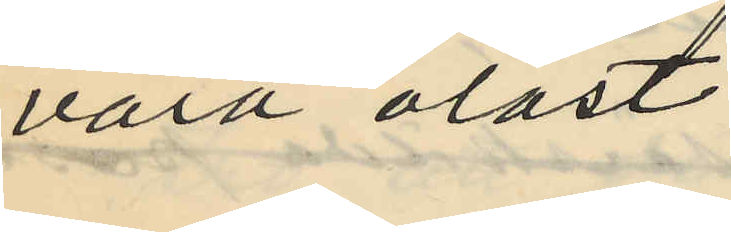vara olåst;
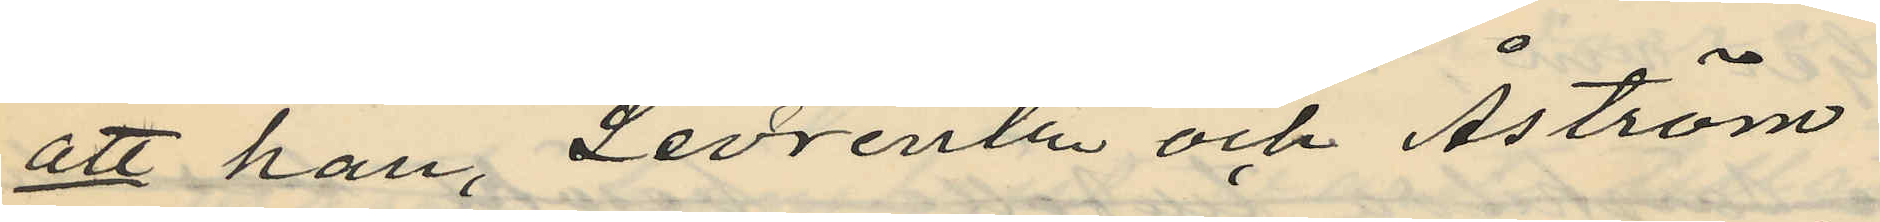att han, Levrentz och Åström
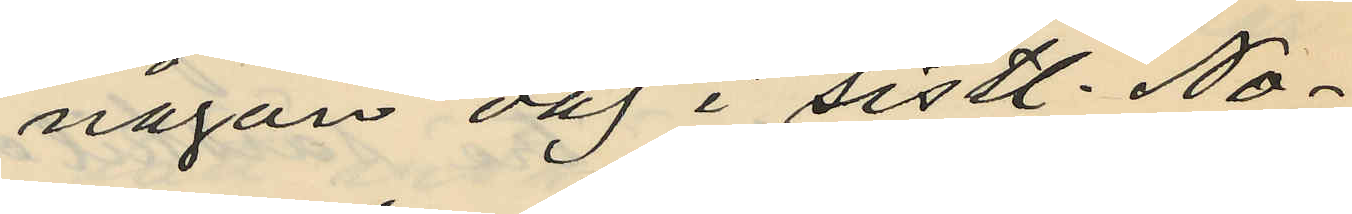någon dag i sistl. No¬
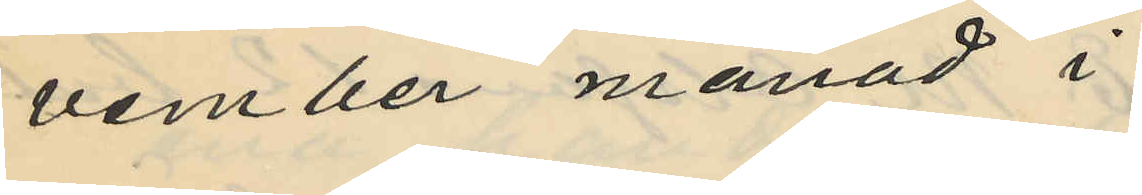vember månad i
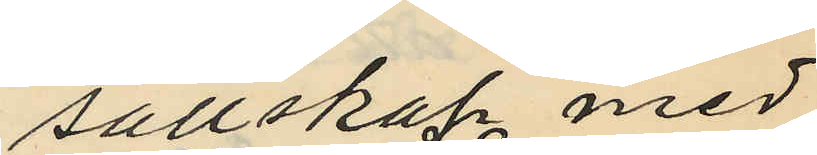sällskap med
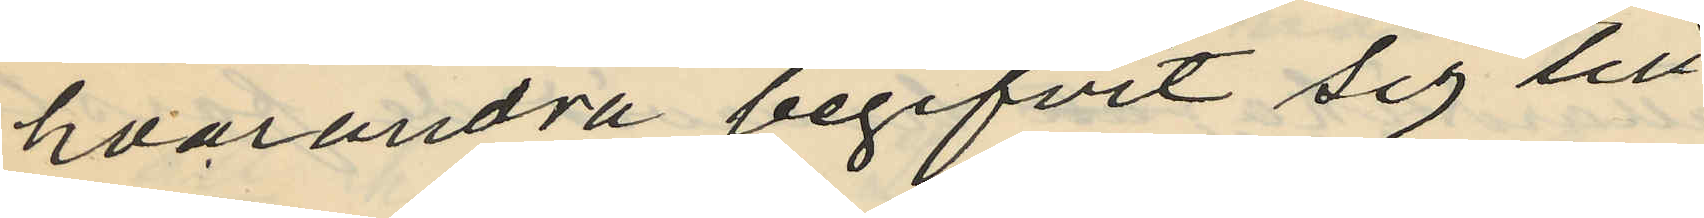hvarandra begifvit sig till
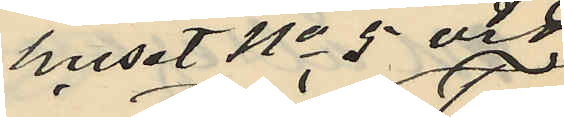huset No 5 vid
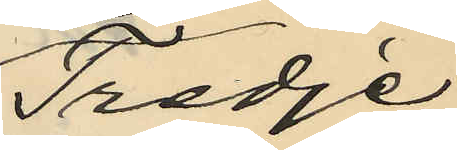Tredje
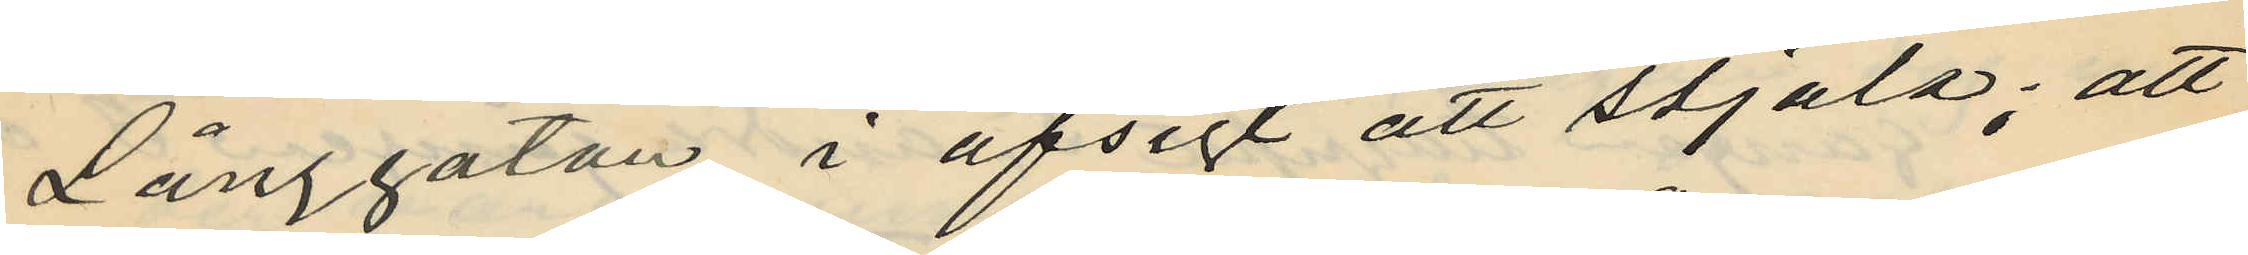Långgatan i afsigt att stjäla; att
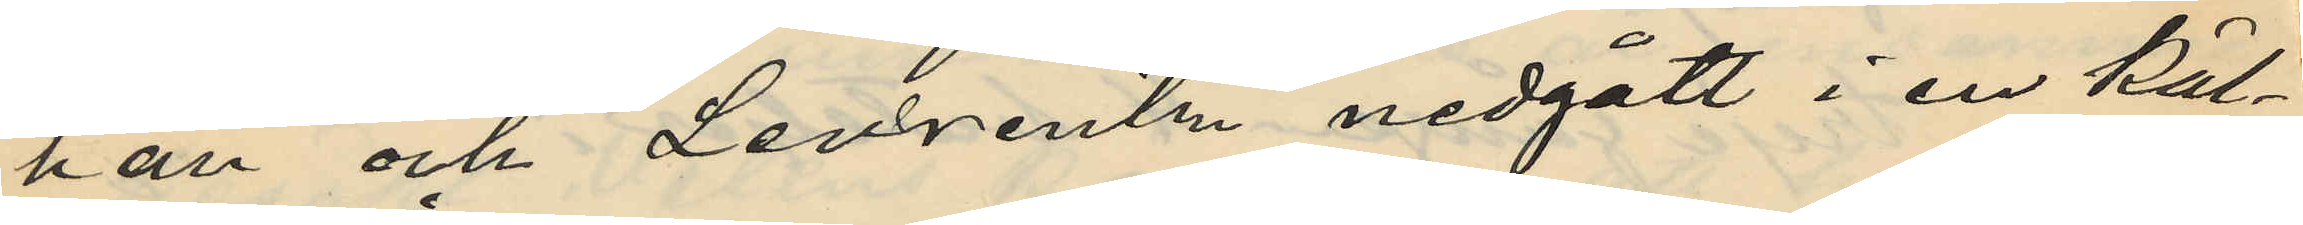han och Levrentz nedgått i en käl¬
